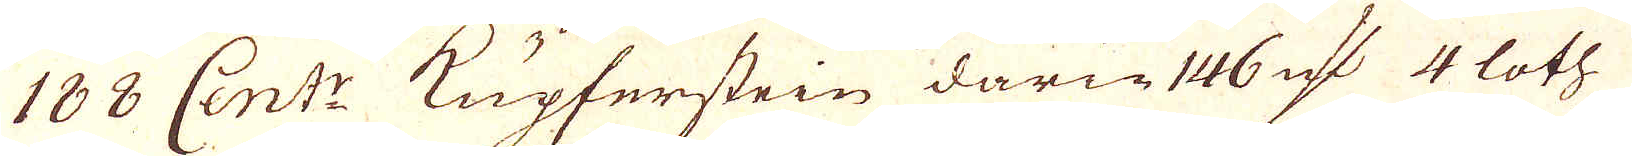188 Cent:r Kupferstein darin 146 qv:r 4 loth
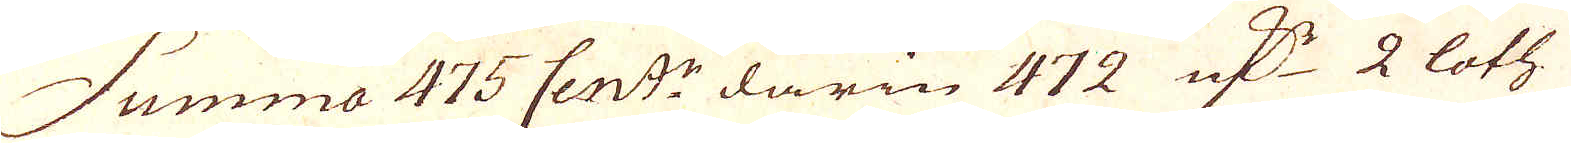Summa 475 Cent:r darin 472 qv:r 2 loth
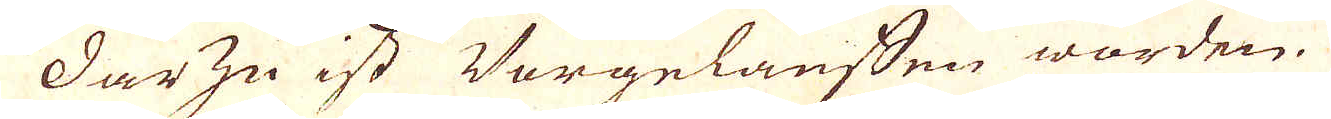Dar zu ist Vorgelauffen worden
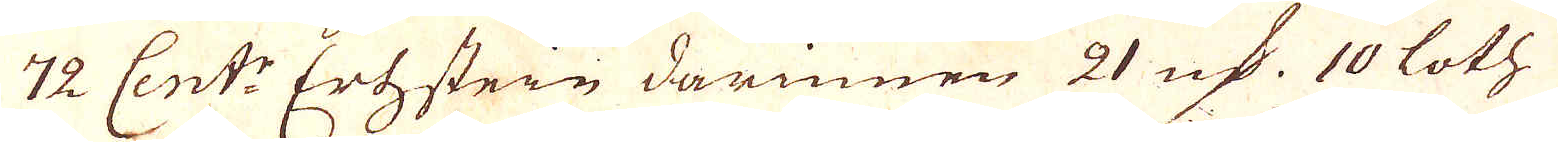72 Cent:r Ertzstein darinnen 21 qv:r 10 loth
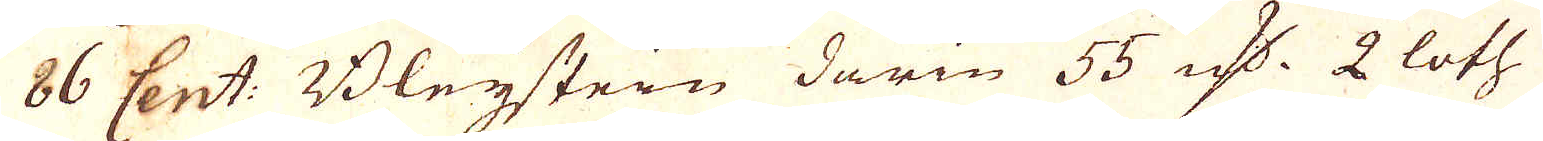86 Cent: Bleijstein darin 55 qv:r 2 loth
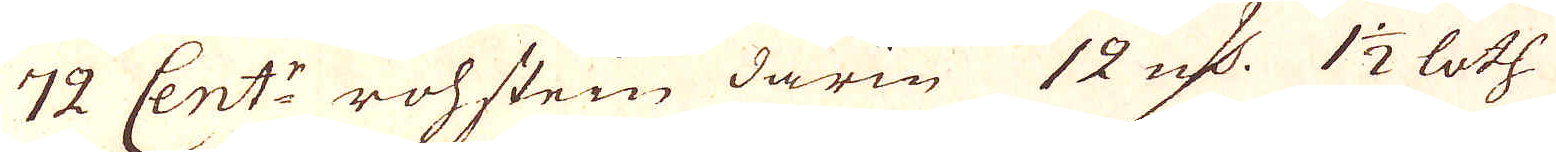72 Cent:r rohsten darin 12 qv:r 1 1/2 loth
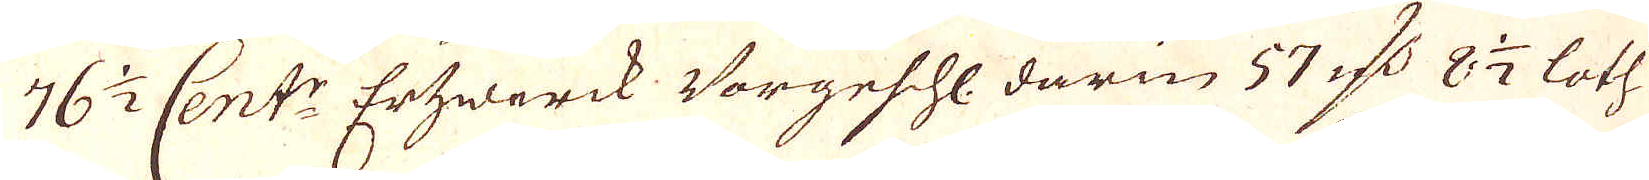76 1/2 Cent:r Ertzwerck Vorgeshl. darin 57 qv:r 8 1/2 loth
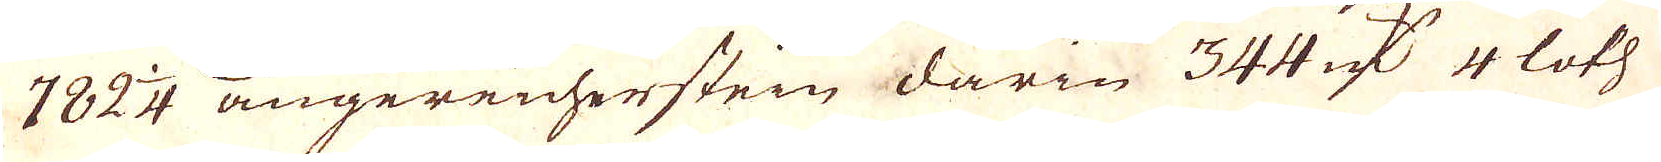782 1/4 angereicherstein darin 344 qv:r 4 loth
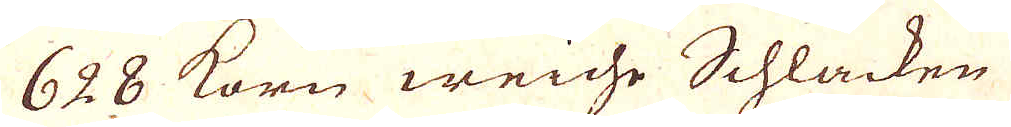628 Korn weiche Schlacken
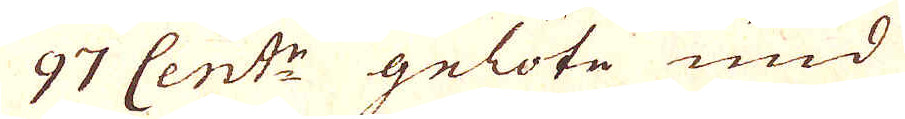97 Cent:r gelöte und
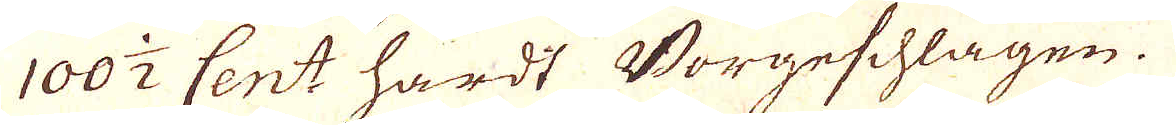100 1/2 Cent: hardt Vorgeschlagen.
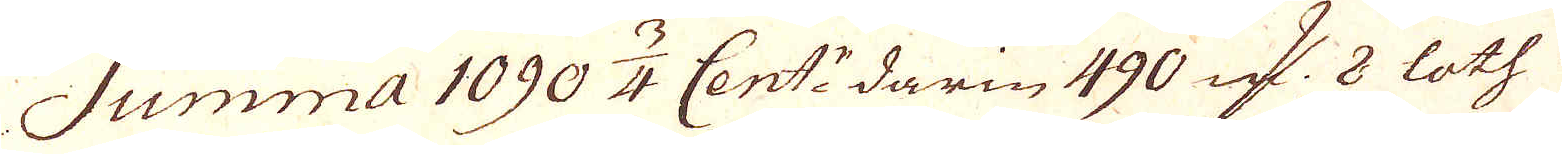Summa 1090 3/4 Cent:r darin 490 qv:r 8 loth
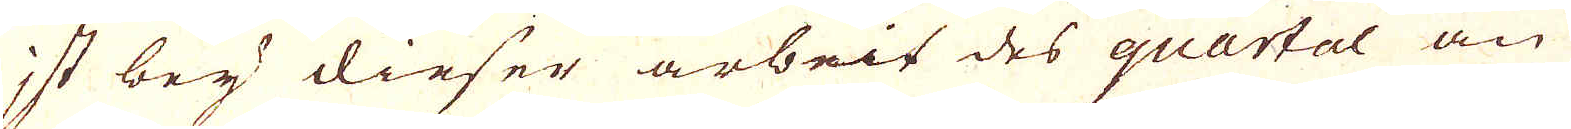ist bey dieser arbeit des quartal an
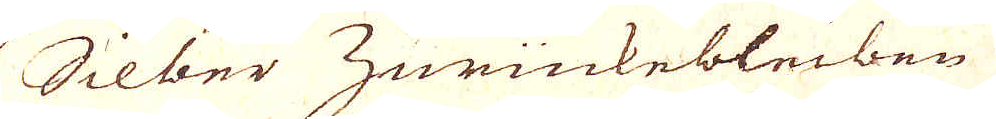Silber Zurückebleiben
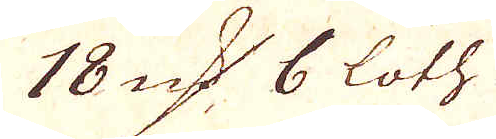18 qv:r 6 loth
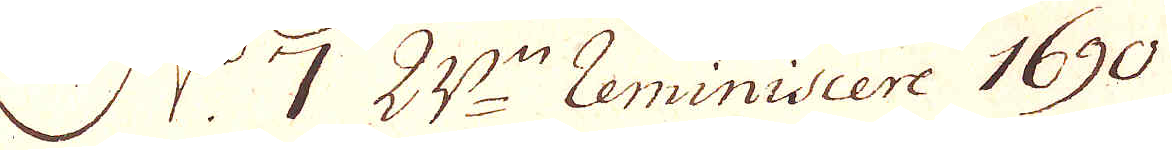N:o 7 Reminiscere 1690
